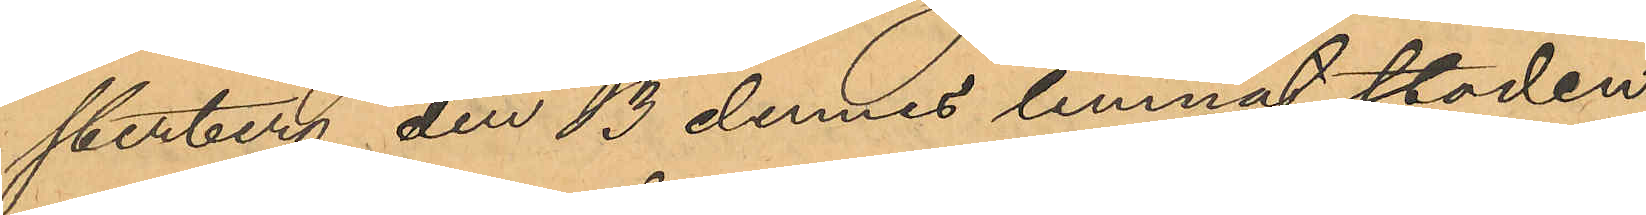sterberg den 13 dennes lemnat staden,
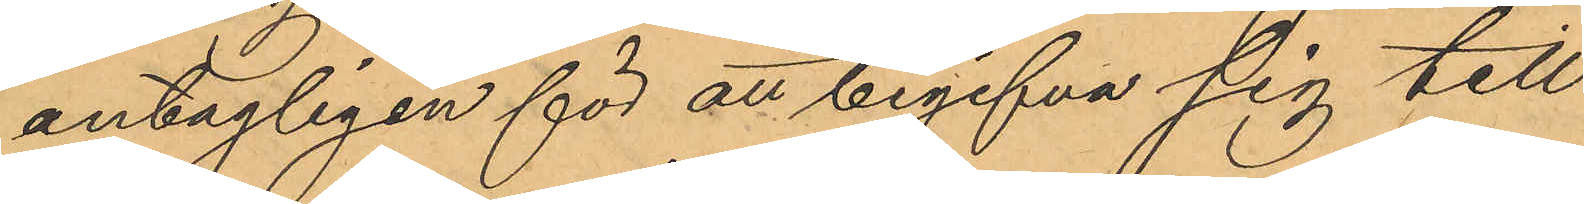antagligen för att begifva sig till
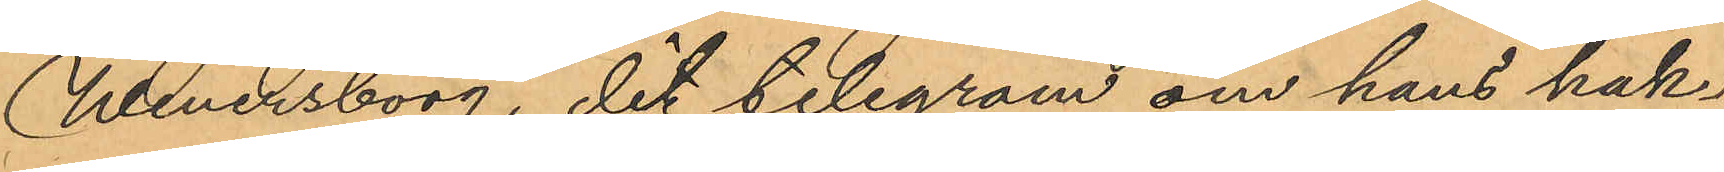Wenersborg, dit telegram om hans häk¬
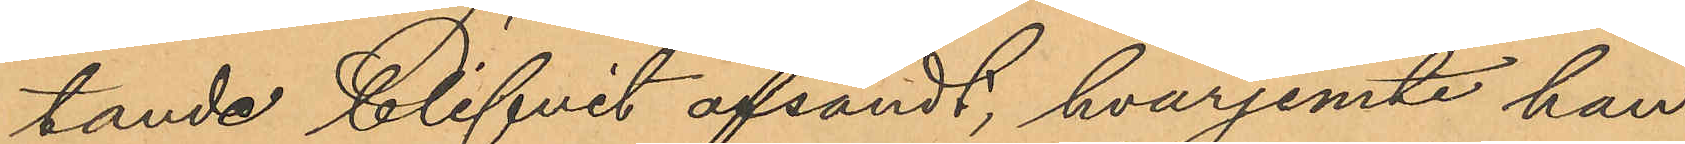tande blifvit afsändt, hvarjemte han
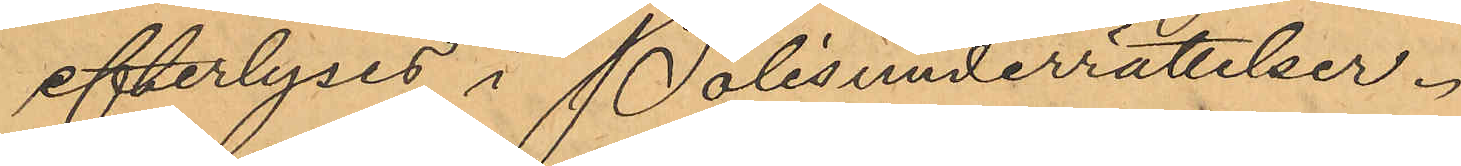efterlyses i Polisunderrättelser.
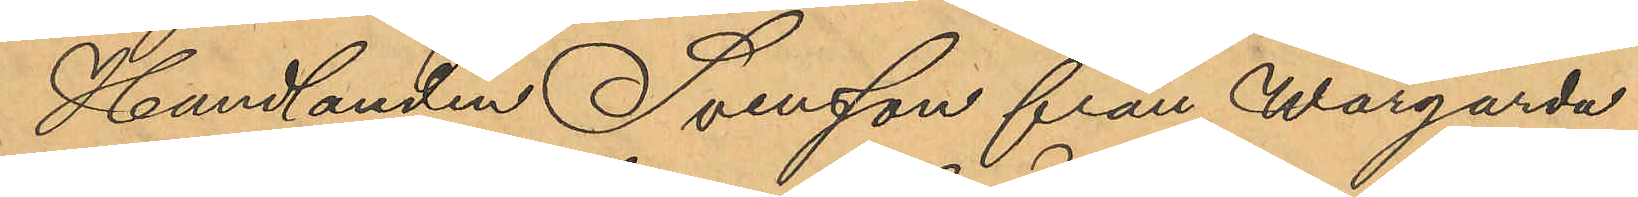Handlanden Svensson från Wårgårda
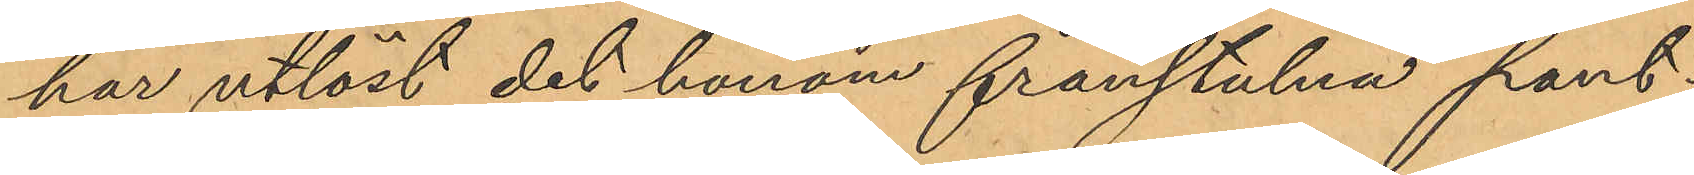har utlöst det honom frånstulna pant¬
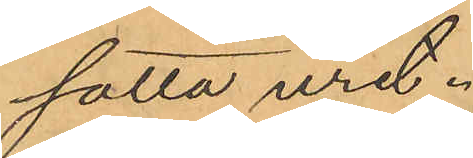satta uret.
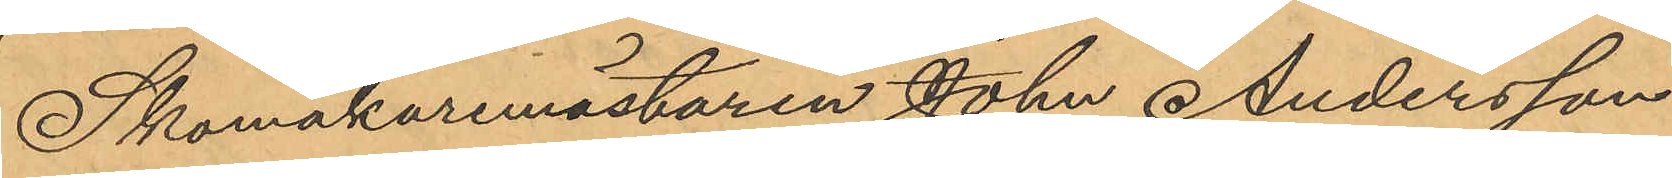Skomakaremästaren John Andersson
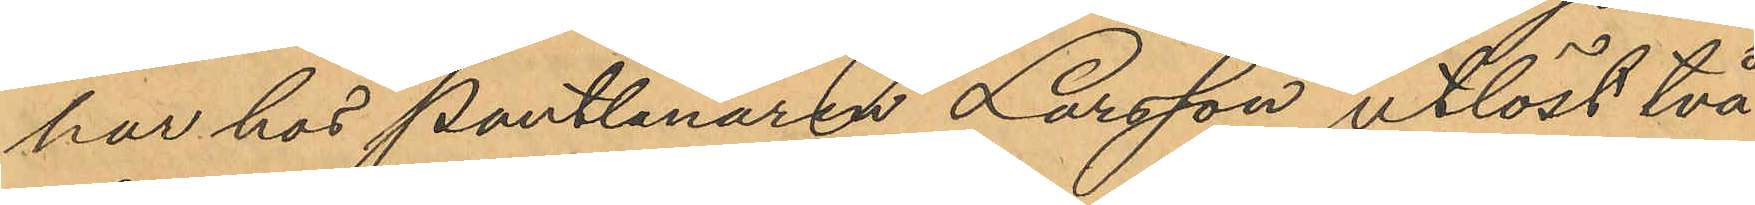har hos Pantlånaren Larsson utlöst två
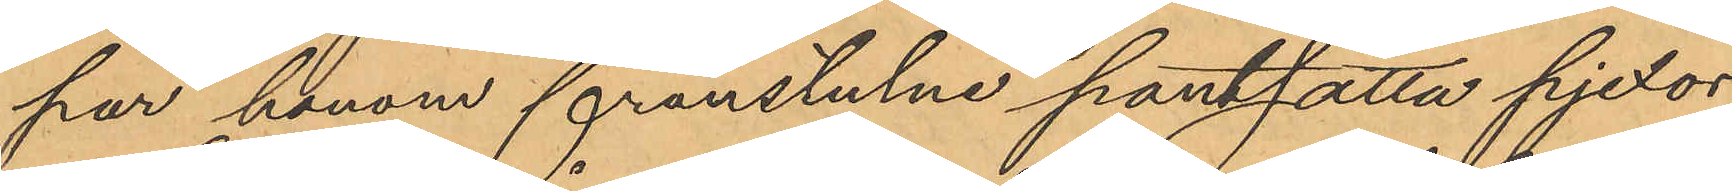par honom frånstulne pantsatta pjexor.
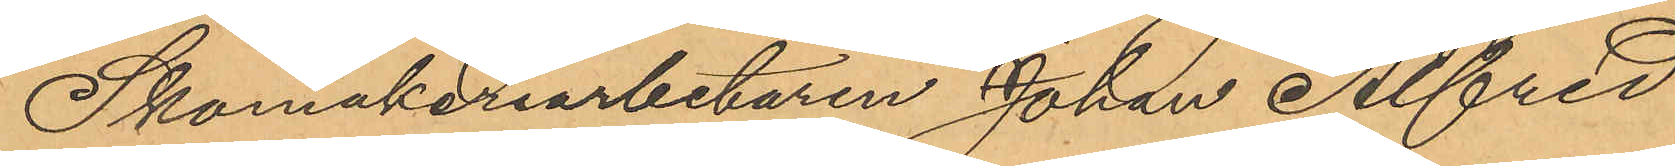Skomakeriarbetaren Johan Alfred
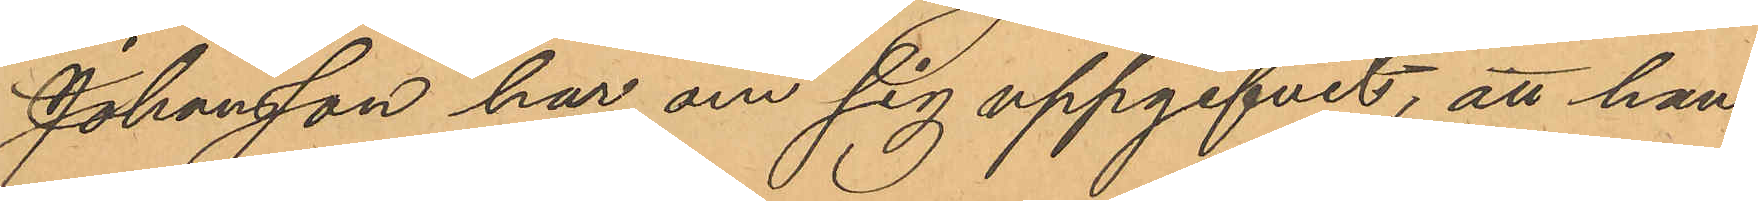Johansson har om sig uppgifvit, att han
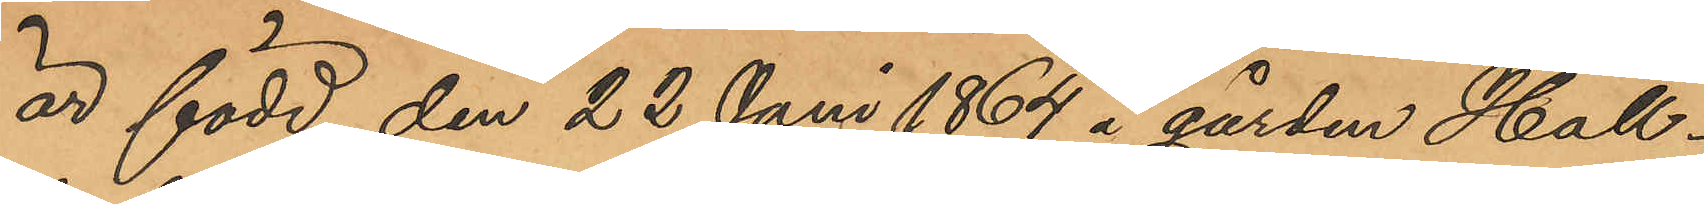är född den 22 Juni 1864 å gården Häll¬
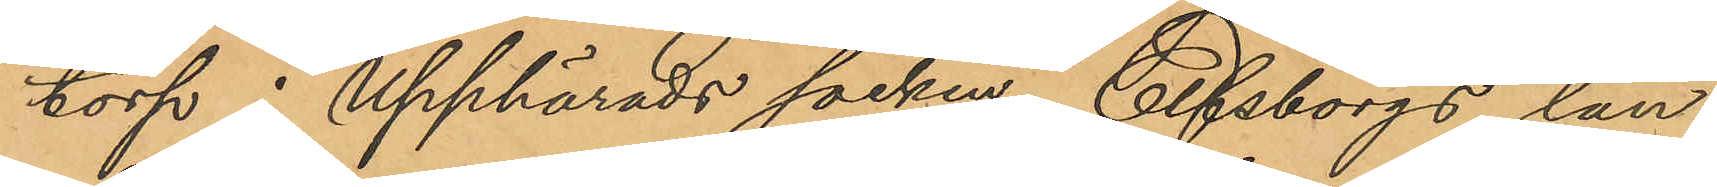torp i Upphärads socken, Elfsborgs län;
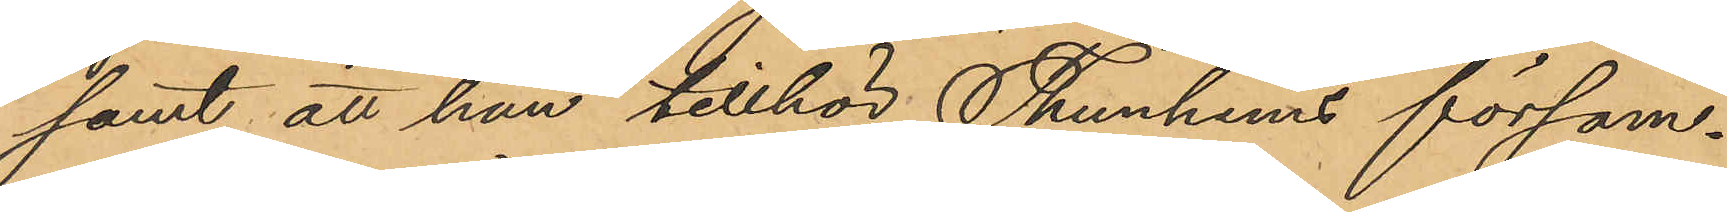samt att han tillhör Thunhems försam¬
